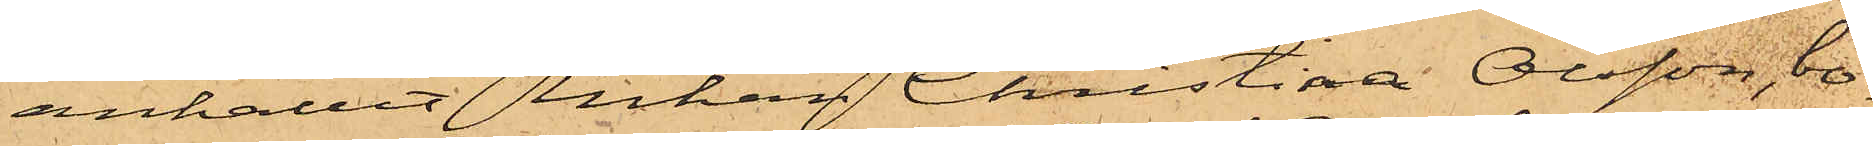anhållit Enkan Christina Olsson, bo¬
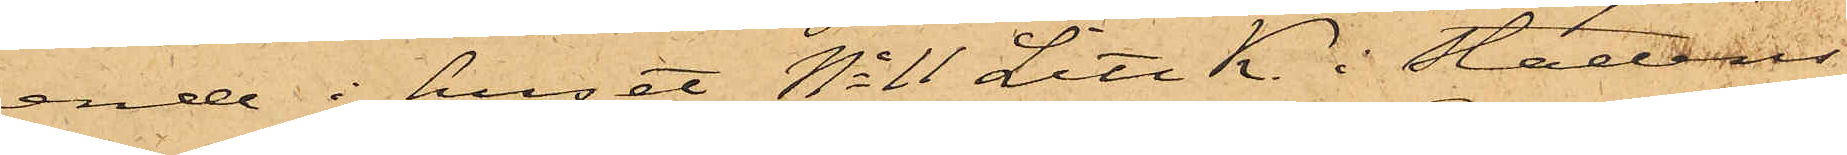ande i huset No 11 Litt K. i Stadens
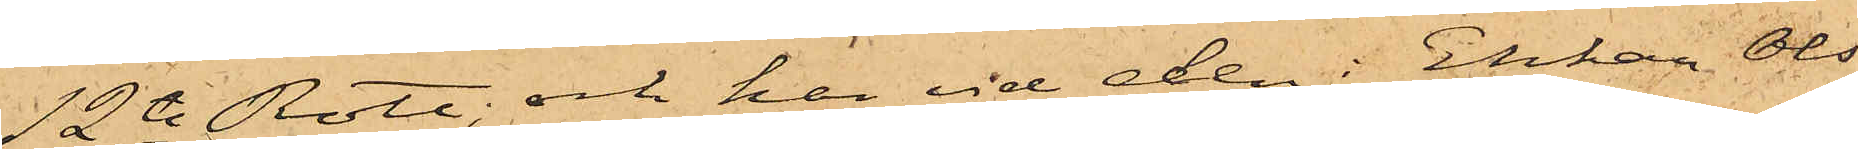12te Rote; och har vid den i Enkan Ols¬
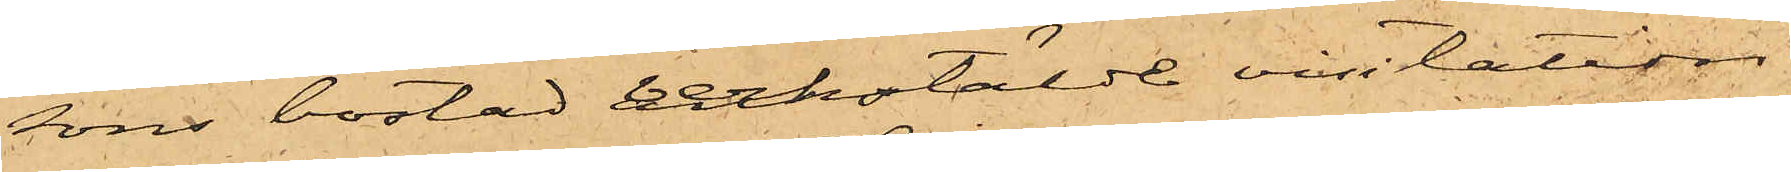sons bostad anstälde visitation
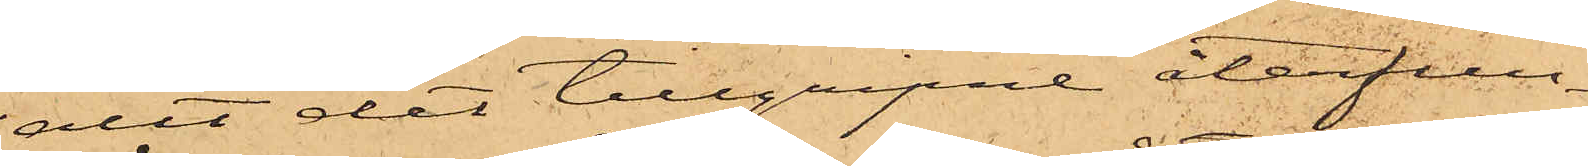allt det tillgripne återfun¬
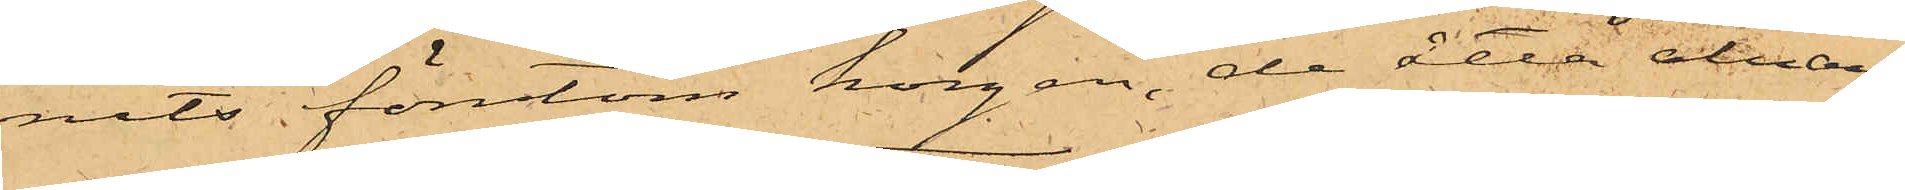nits förutom korgen, de åtta alnar¬
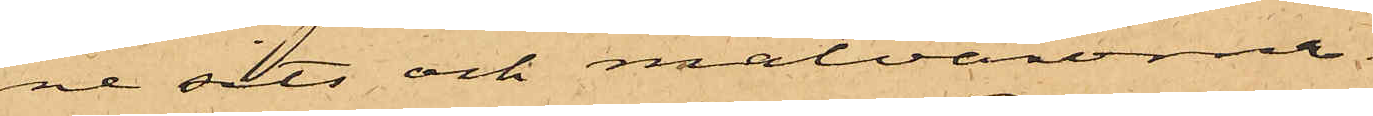ne sits och matvarorna.
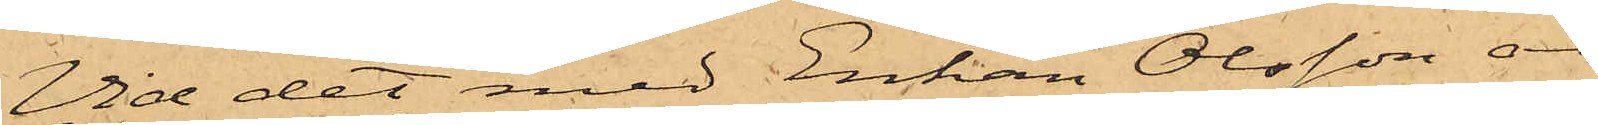Vid det med Enkan Olsson an¬
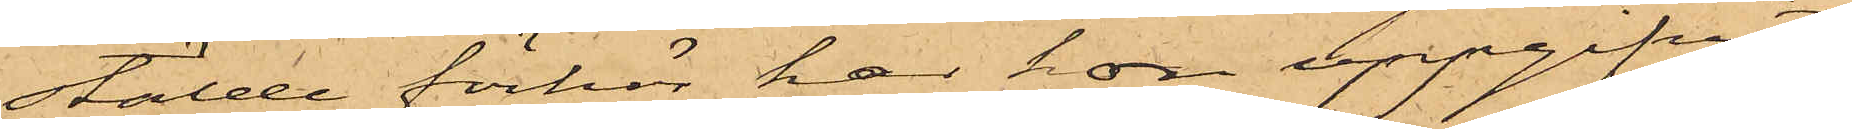stälde förhör har hon uppgifvit:
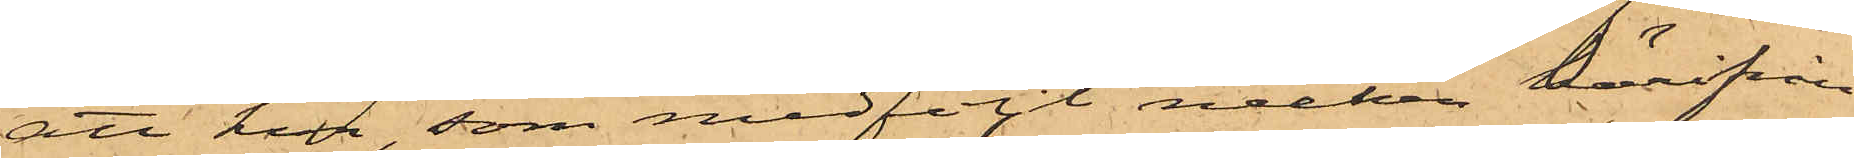att hon, som medföljt necken härifrån
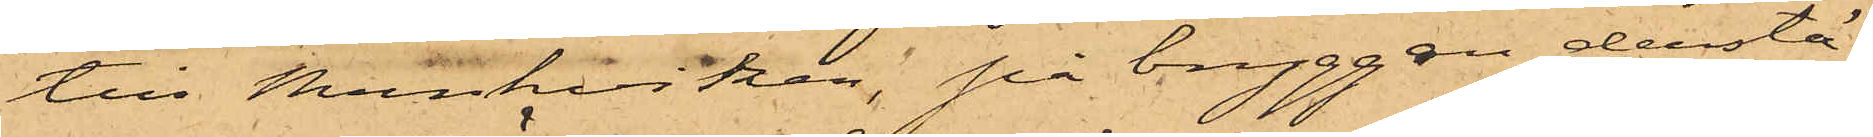till Munkviken, på bryggan derstä¬
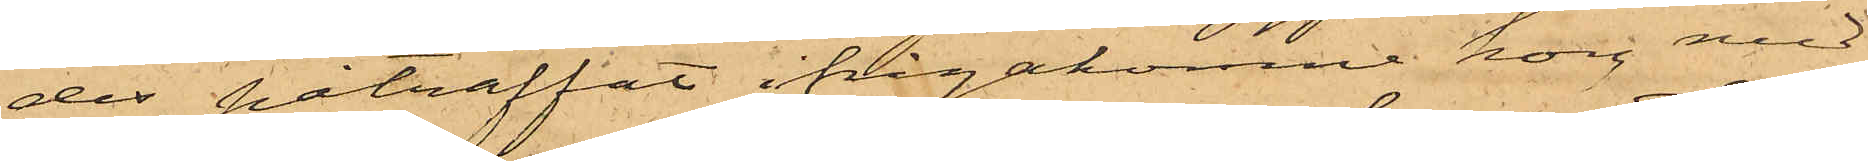des påträffat ifrågakomne korg med
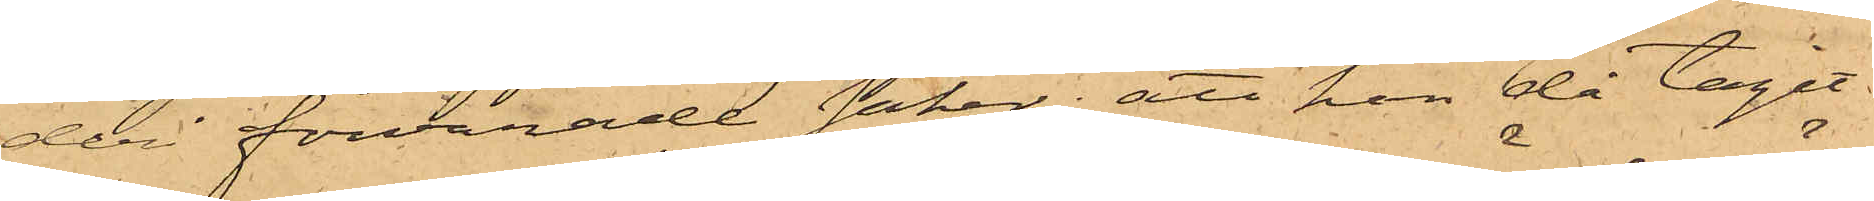deri förvarade saker; att hon då tagit
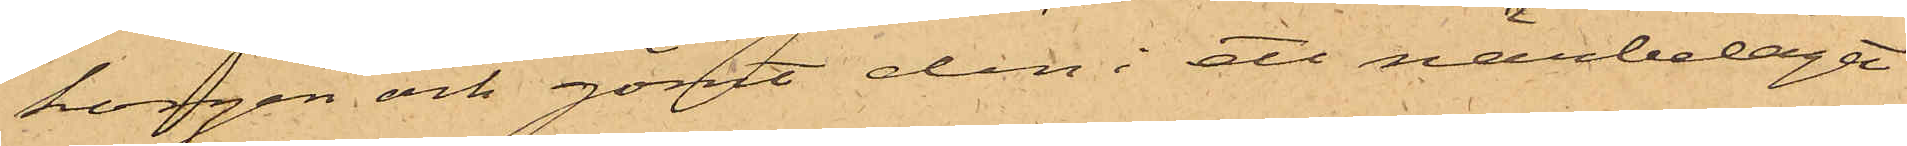korgen och gömt den i ett närbeläget
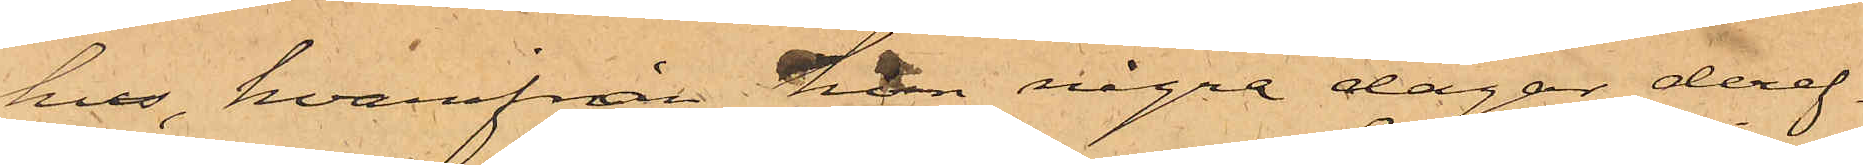hus, hvarifrån hon några dagar deref¬
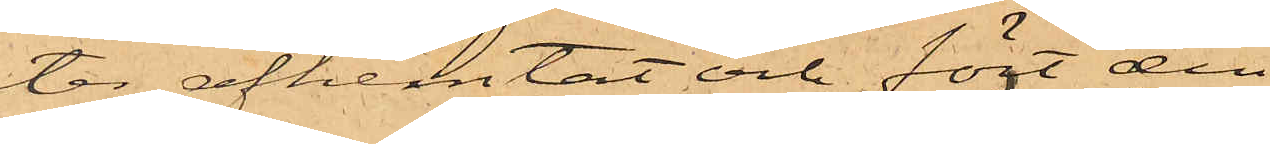ter afhemtat och fört den
